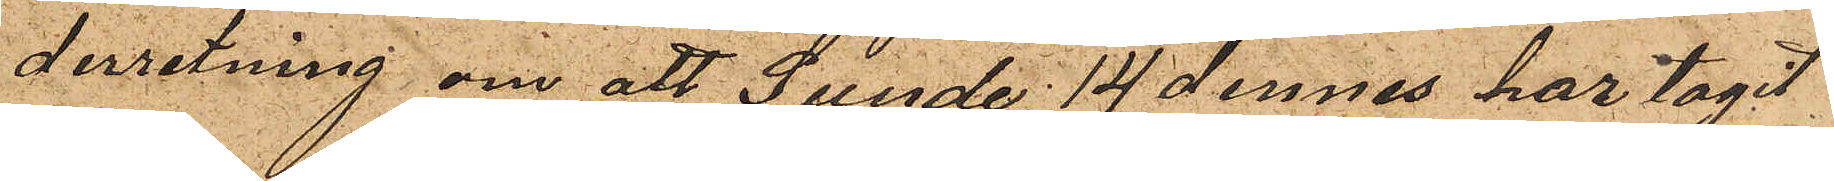derretning om att Sunde 14 dennes har tagit
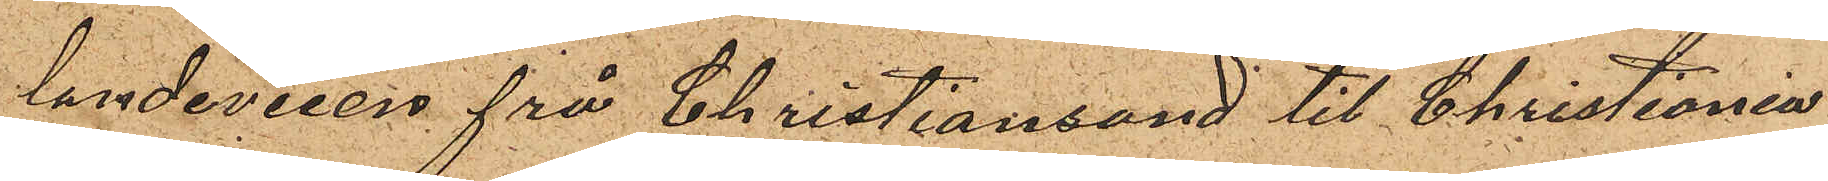landeveien frå Christiansand till Christiania
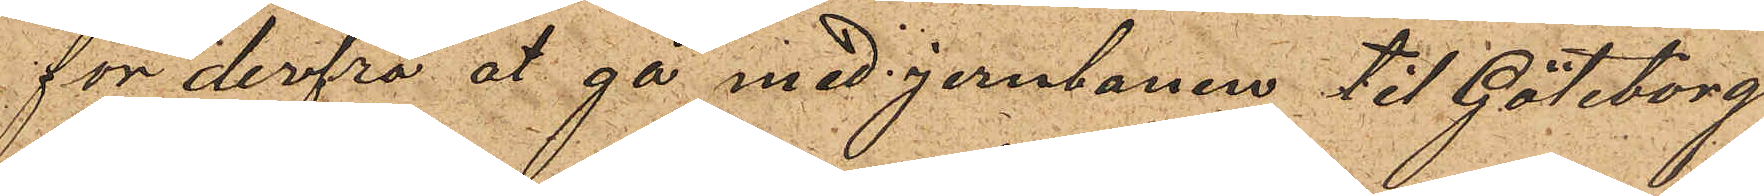for derfra at gå med jernbanen til Göteborg
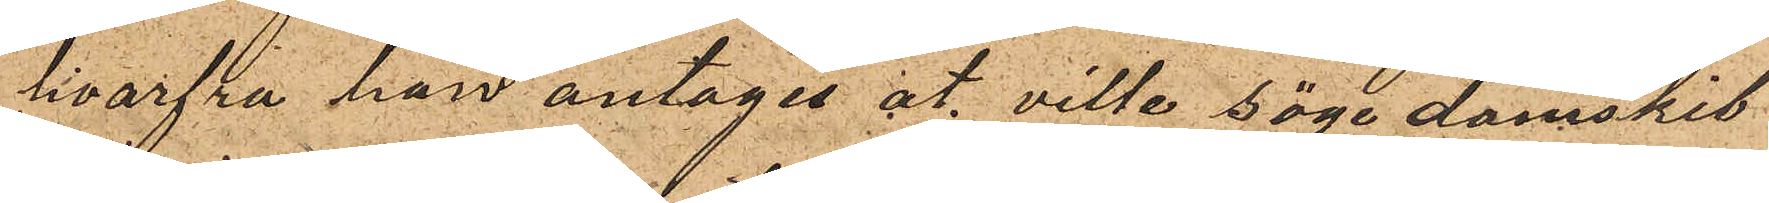hvarfra han antages at ville söge damskib
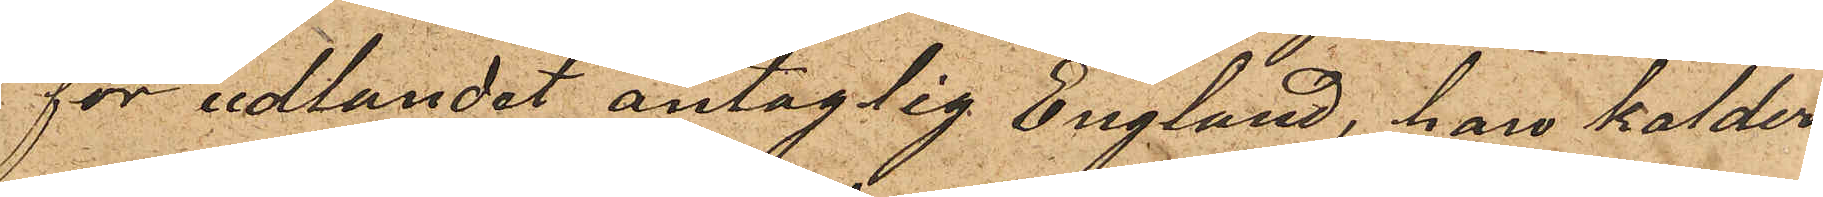for udlandet antaglig England, han kalder
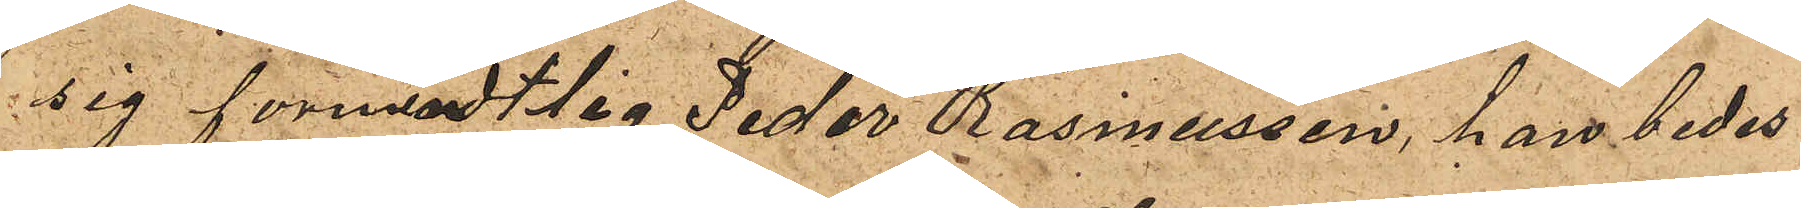sig formodtig Peder Rasmussen, han bedes
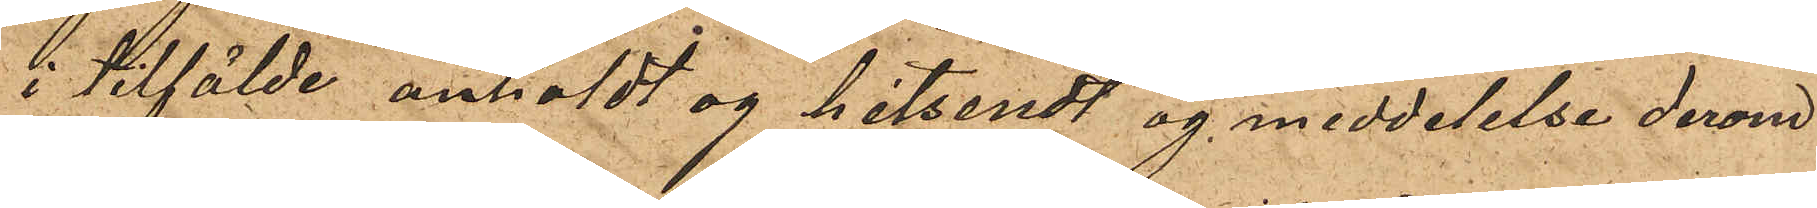i tilfälde anholdt og hitsendt og meddelelse derom
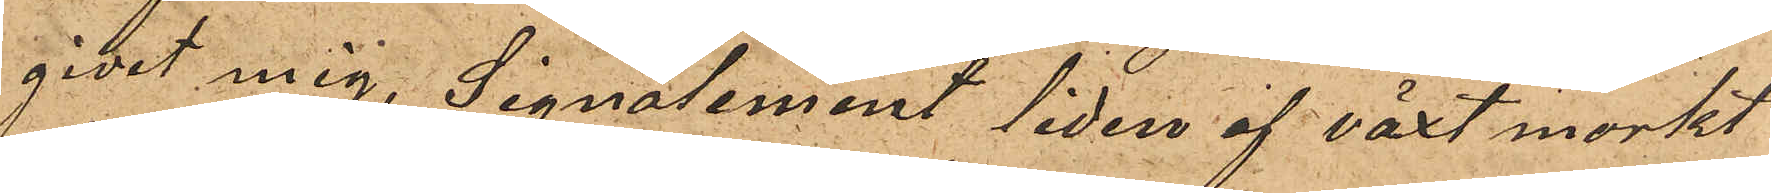givet mig, Signalement liden af växt morkt
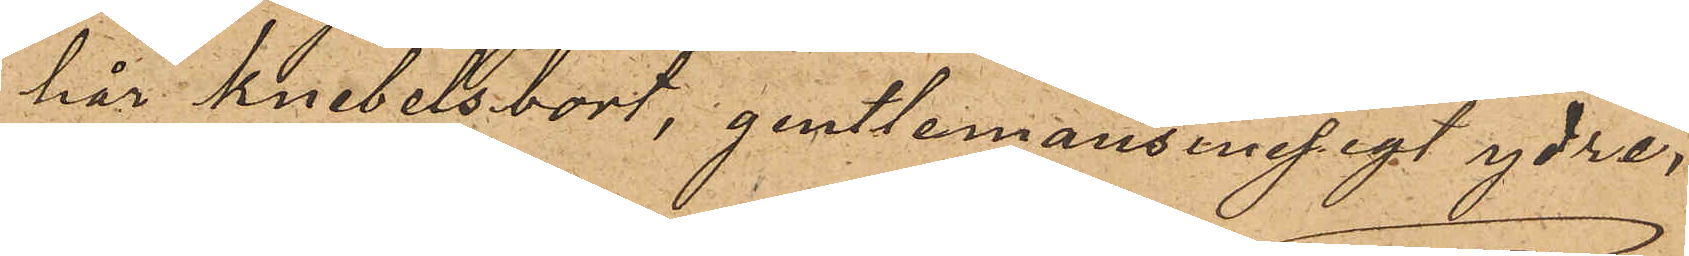hår knebelsbort, gentlemansmesigt ydre,
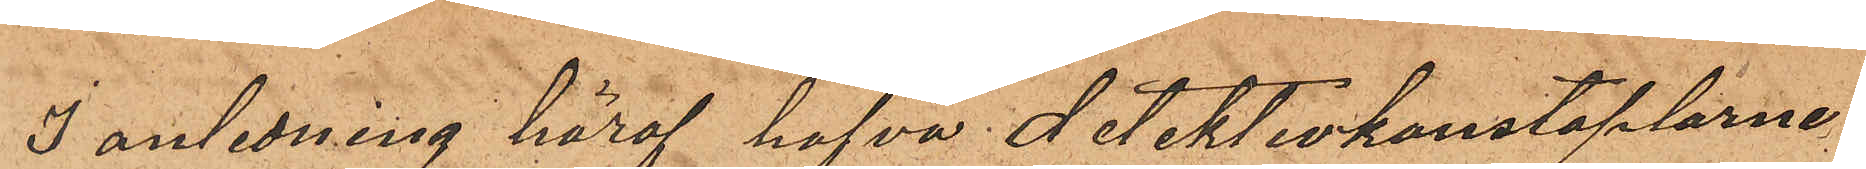I anledning häraf hafva detektivkonstaplarne
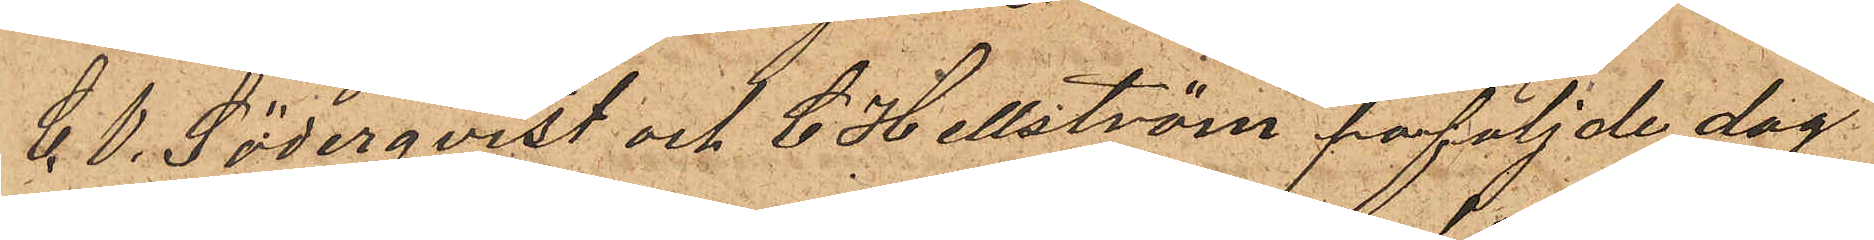C. V. Söderqvist och C. Hellström påföljde dag
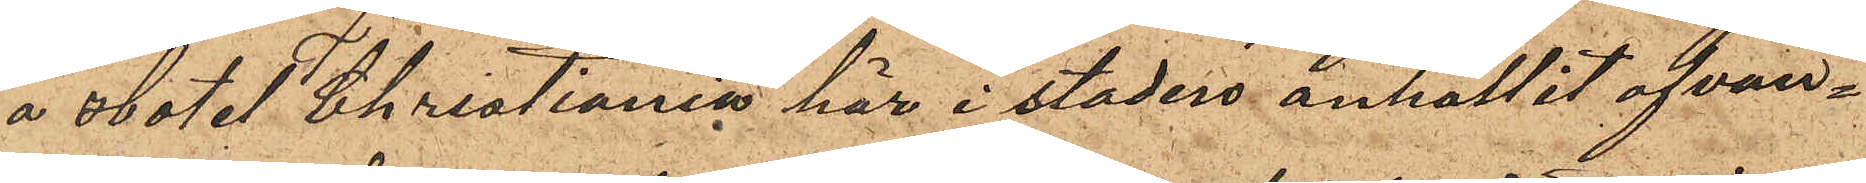å Hotel Christiania här i staden anhållit ofvan¬
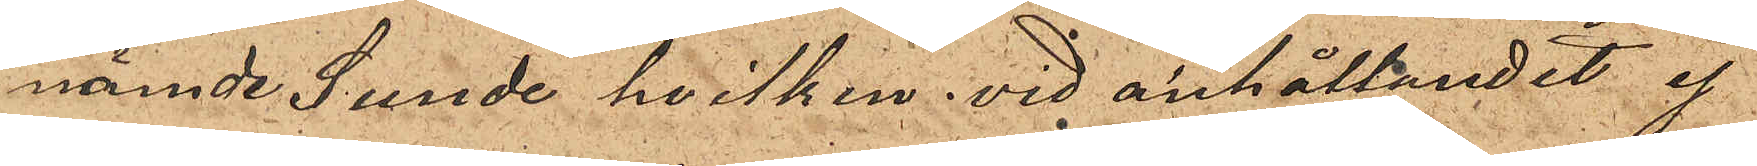nämde Sunde hvilken vid anhållandet ej
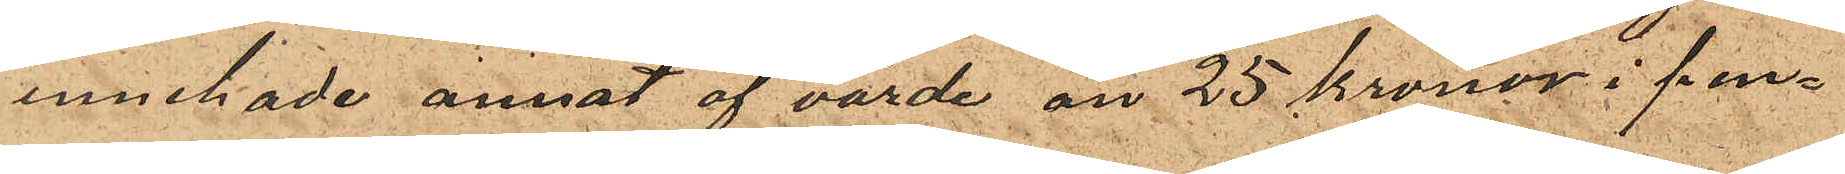innehade annat af värde än 25 kronor i pen¬
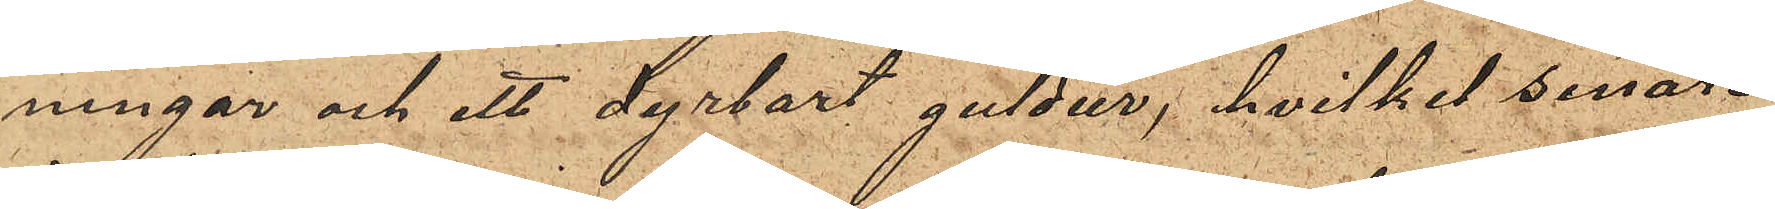ningar och ett dyrbart guldur, hvilket senare
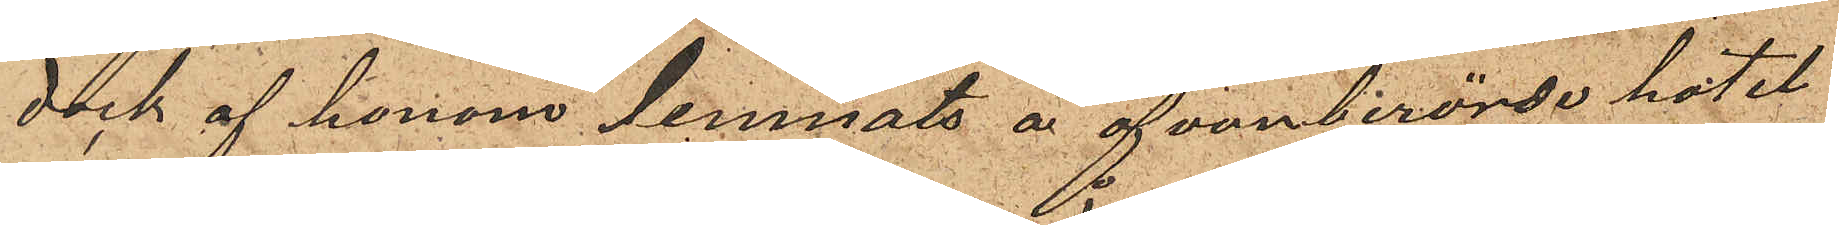dock af honom lemnats å ofvanberörde hotel
